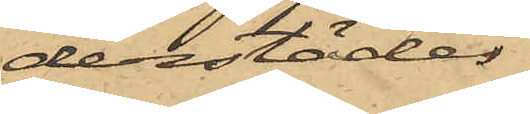derstädes
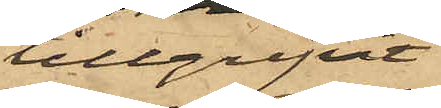tillgripit
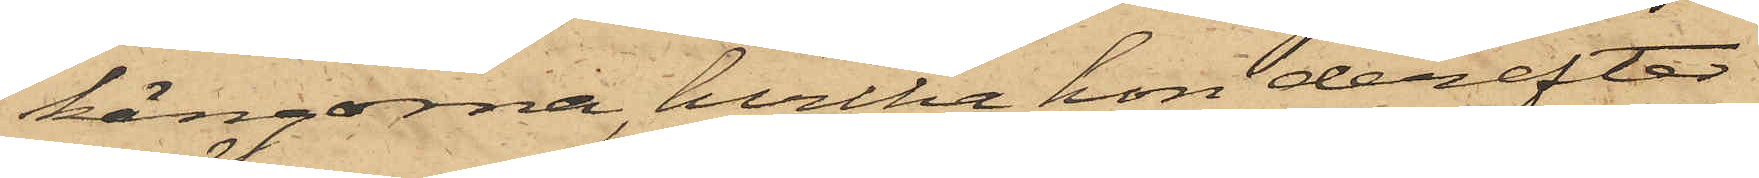kängorna, hvilka hon derefter
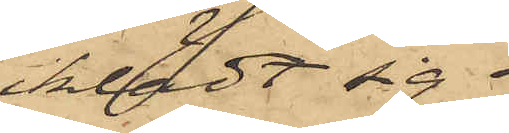iklädt sig.
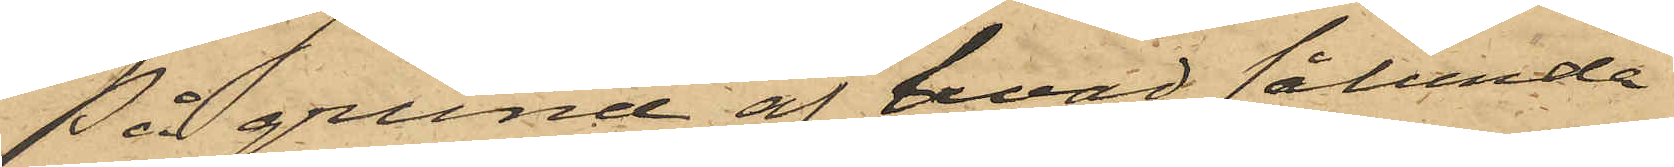På grund af hvad sålunda
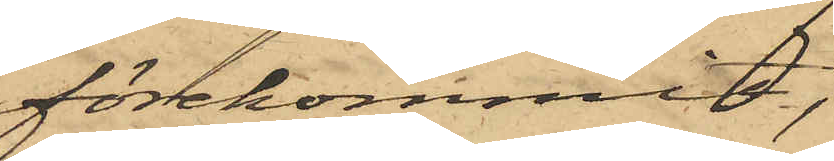förekommit,
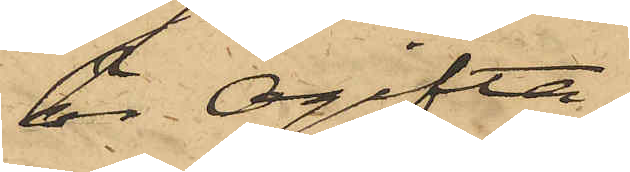är Ogifta
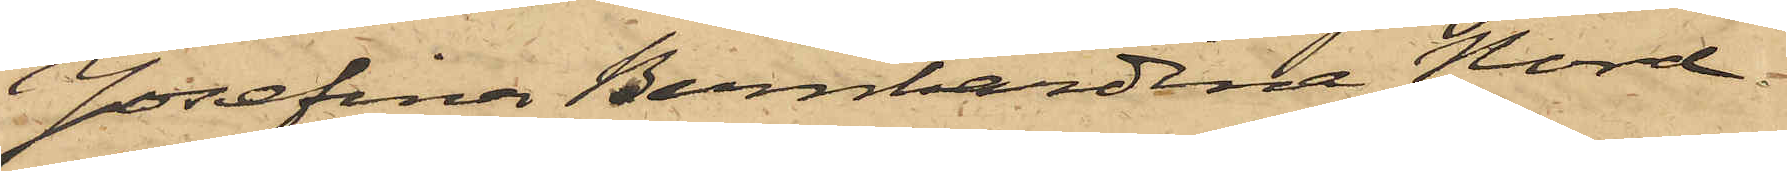Josefina Bernhardina Nord¬
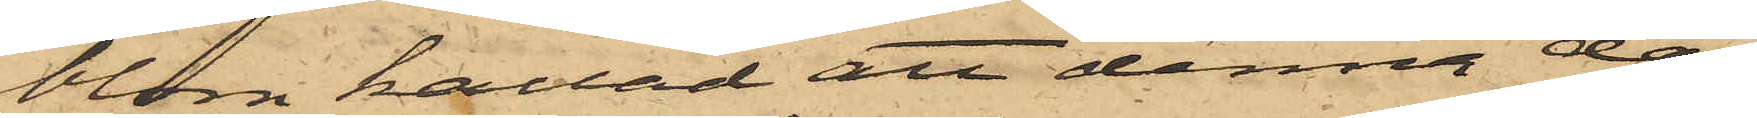blom kallad att denna dag
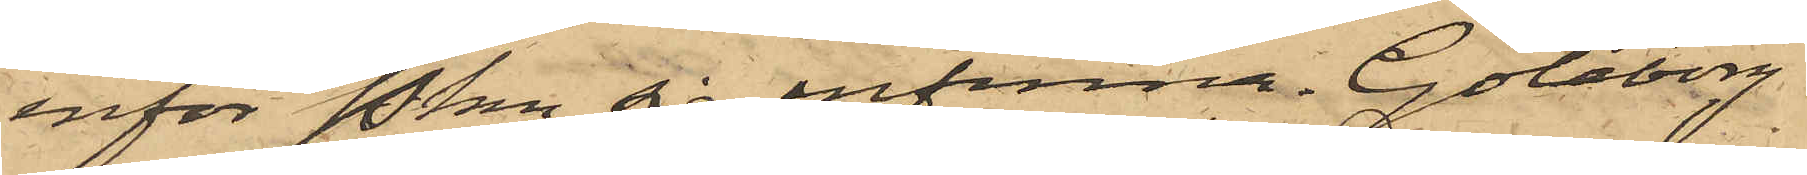inför Pkn sig infinna. Göteborg
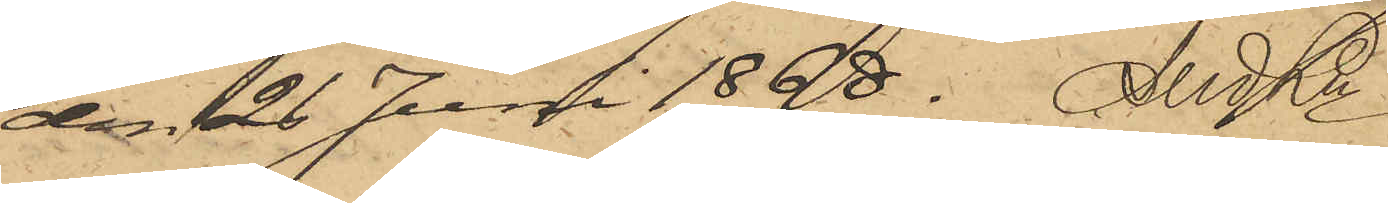den 26 Juni 1868.  And Ln
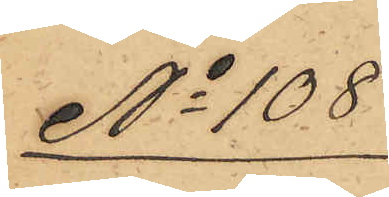No 108
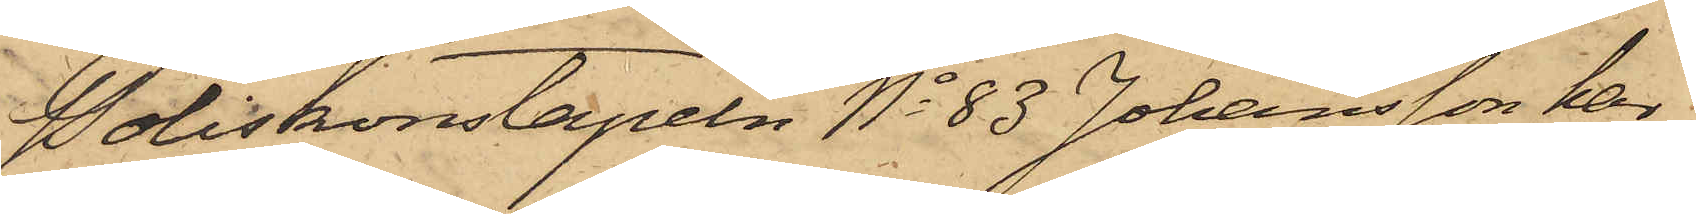Poliskonstapeln No 83 Johansson har
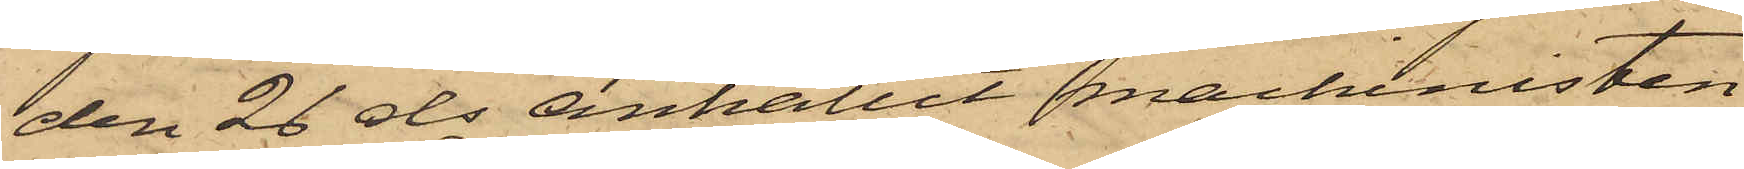den 26 ds anhållit machinisten
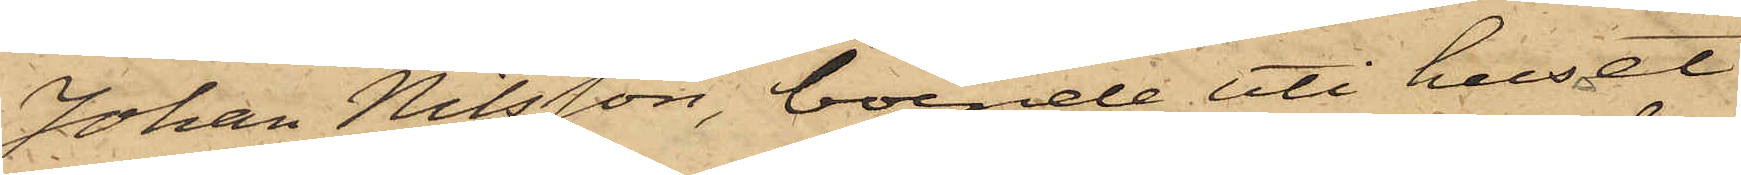Johan Nilsson, boende uti huset
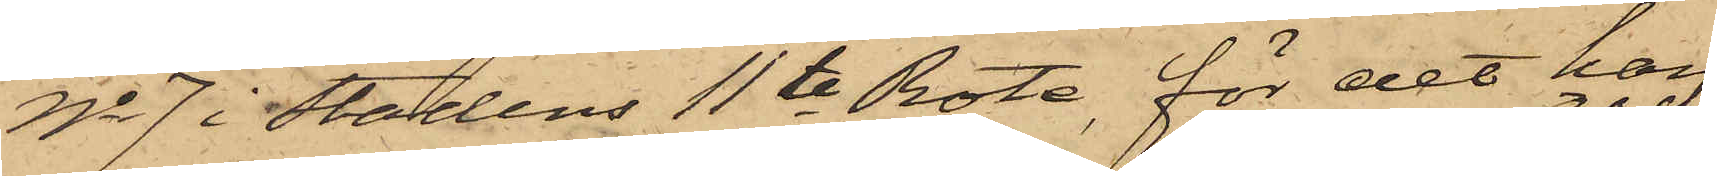No 7 i stadens 11te Rote, för det han
